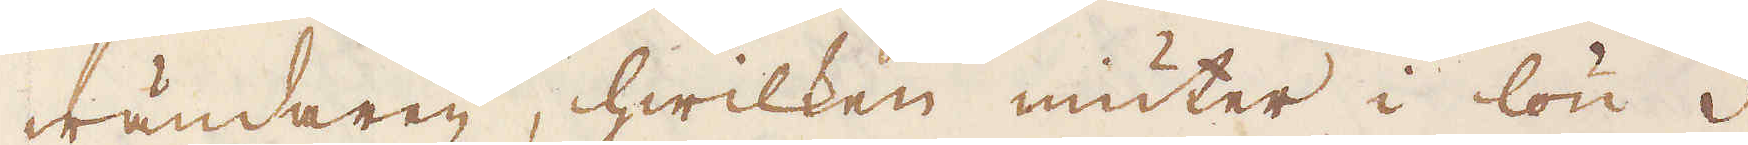wändaren, hwilken niuter i lön 3
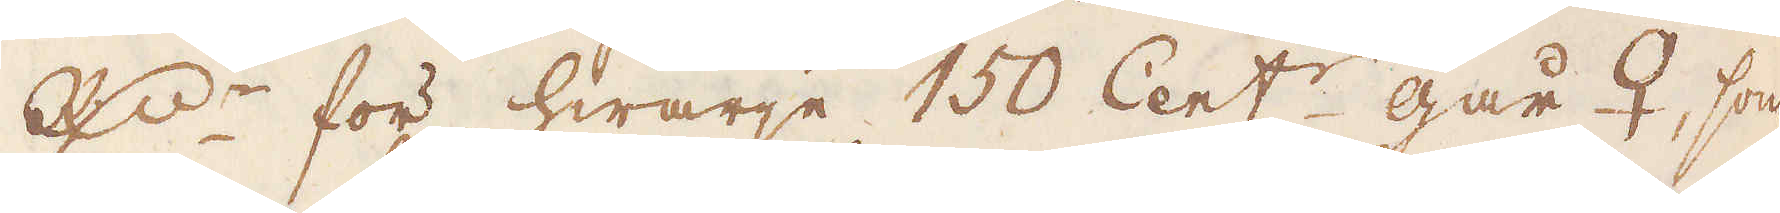R:dr för hwarje 150 Cent:r går ♀, som
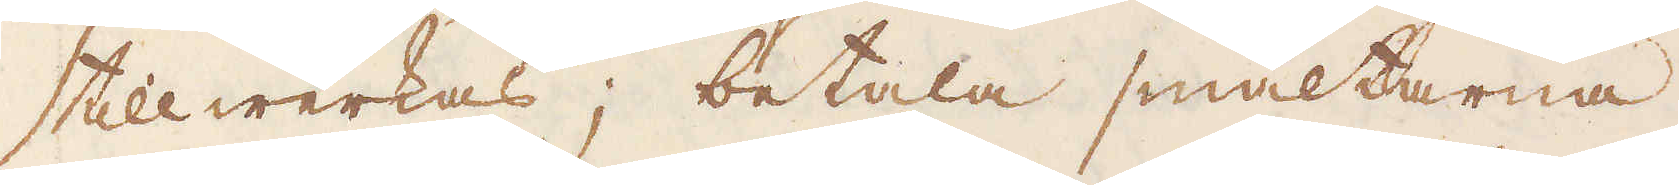tillwerkas; betala smältarna,
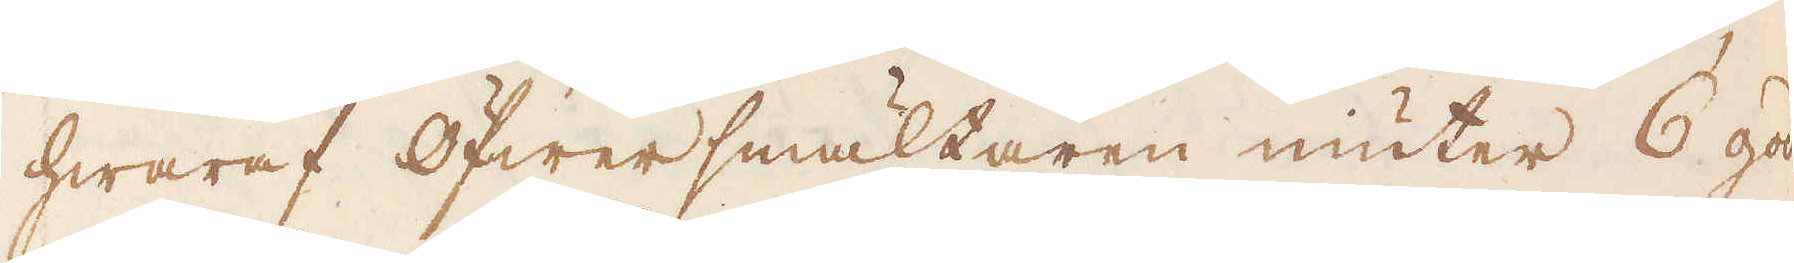hwaraf Öfwersmältaren niuter 6 goda
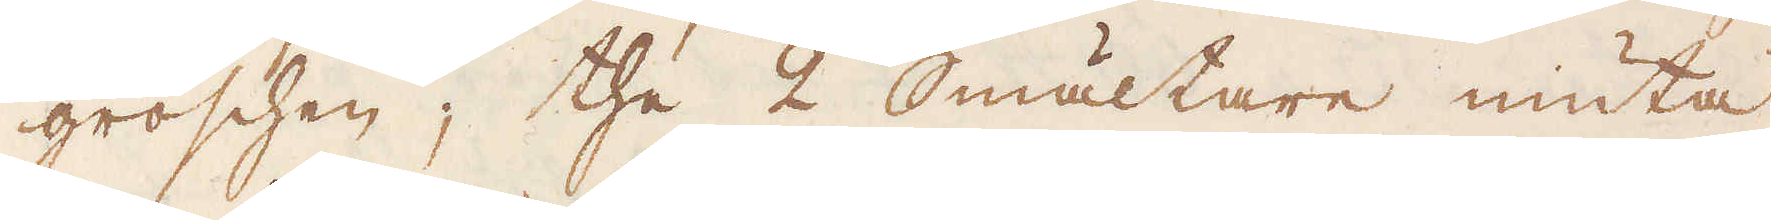groschen; the 2 Smältare niuta
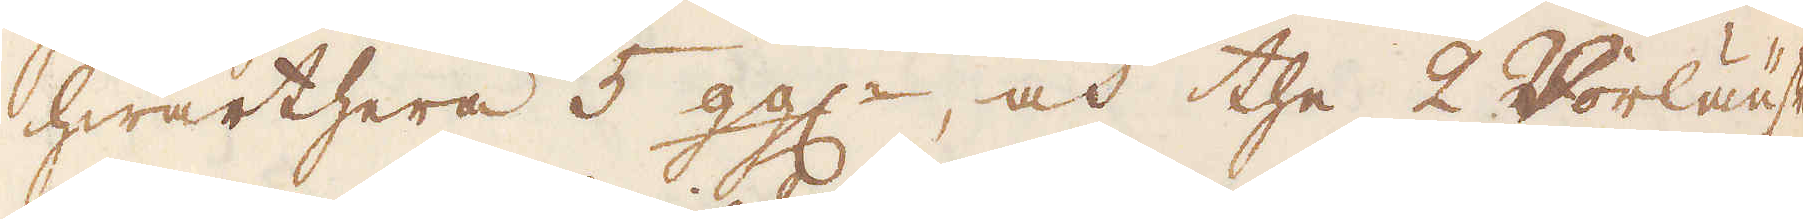hwarthera 5 gg:r, och the 2 Vorläufer
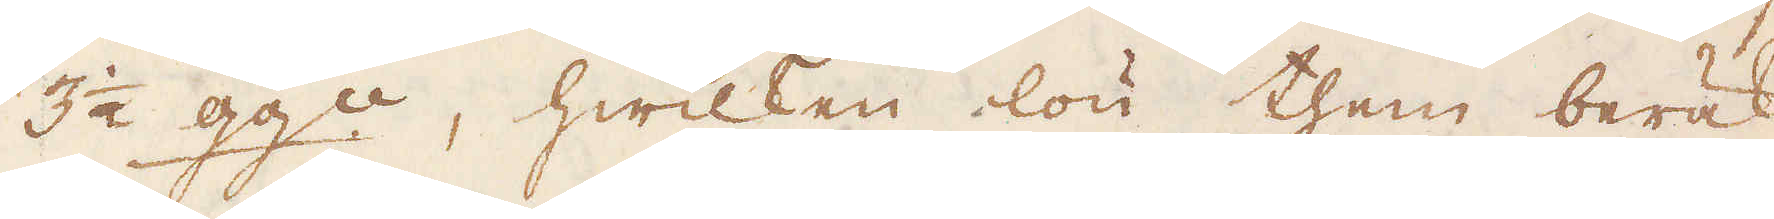3 1/2 gg:r, hwilken lön them beräk-
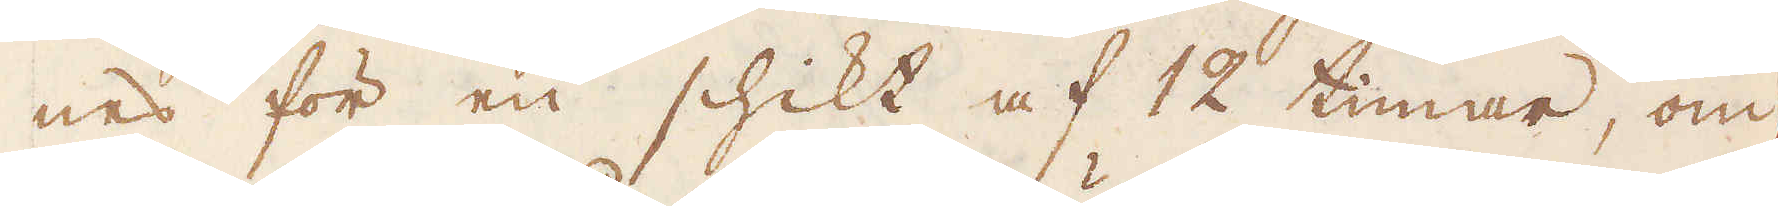nes för en schikt af 12 timar, om-
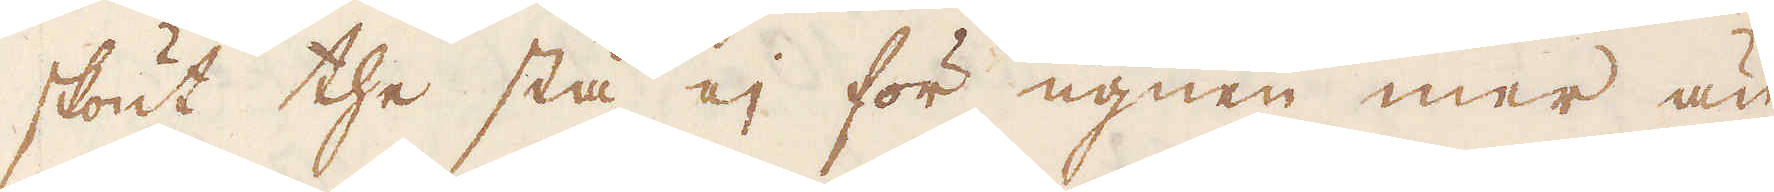skönt the stå ej för ugnen mer än
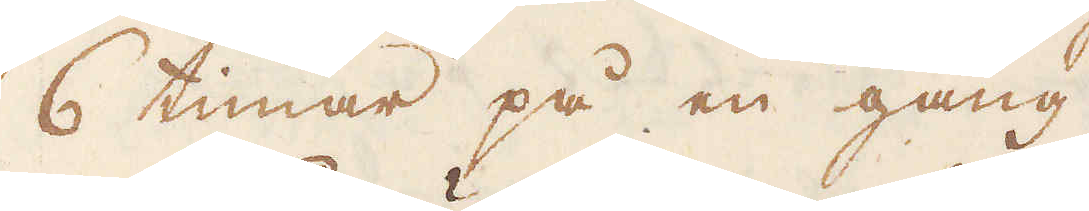6 timar på en gång.
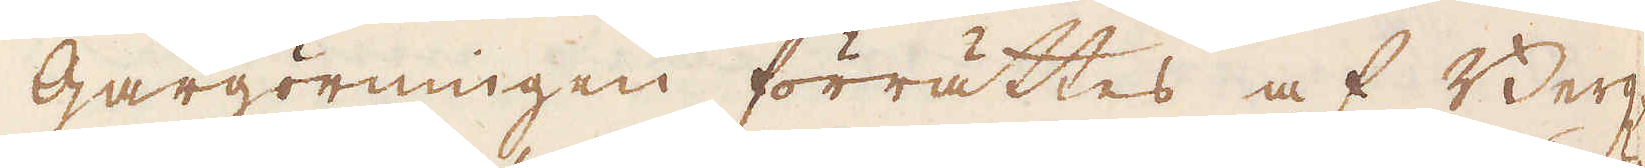Gårgörningen förrättes af Berg-
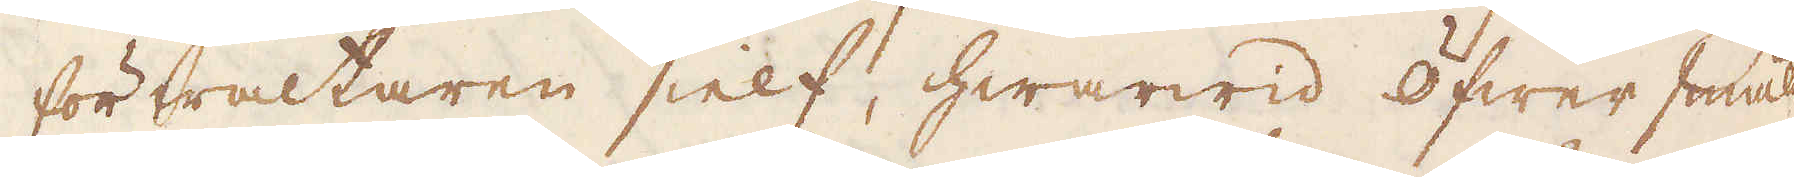förwaltaren sielf, hwarwid Öfwer smäl-
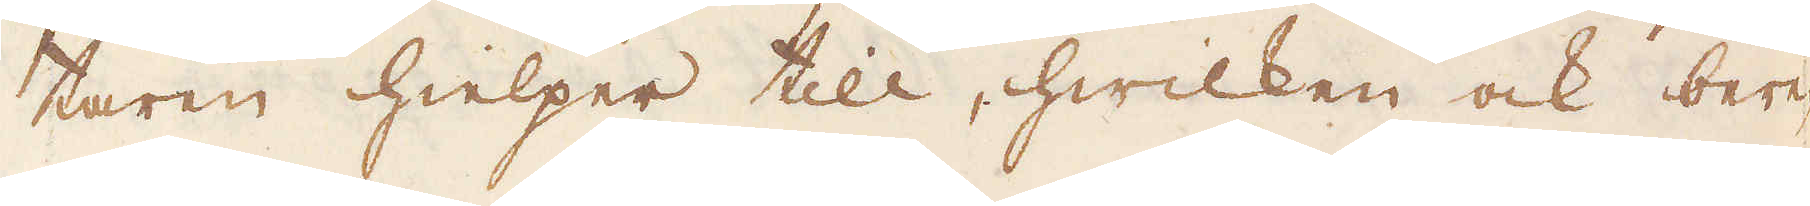taren hielper till, hwilken ock bere-
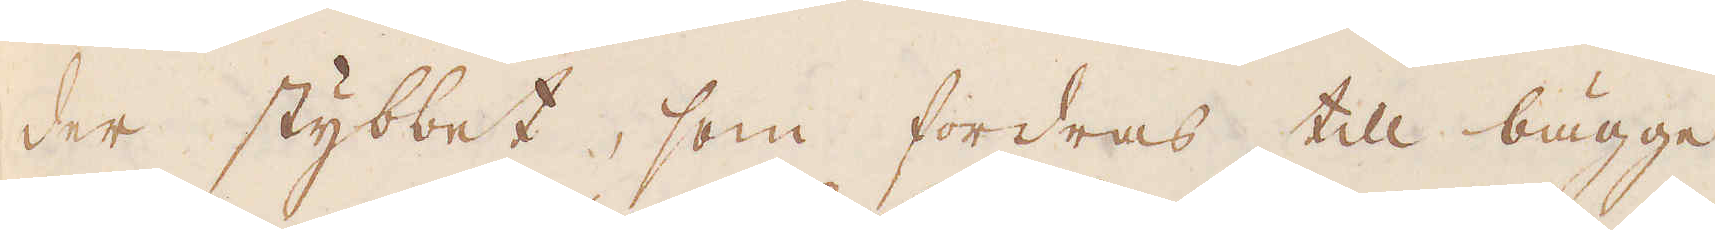der stybbet, som fordras till bägge
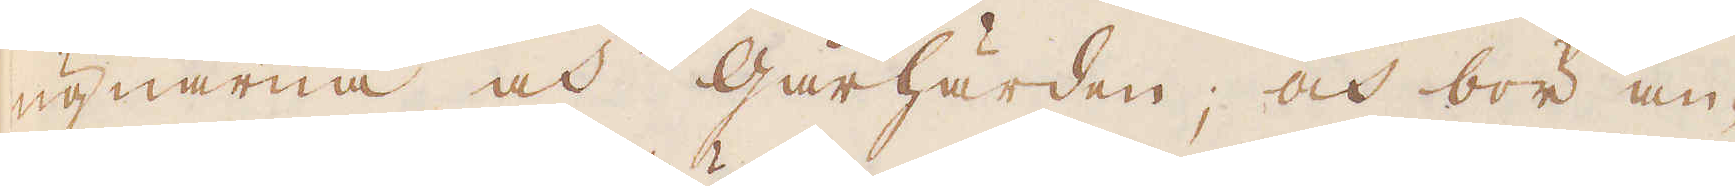ugnarna och Gårhärden, och bör an-
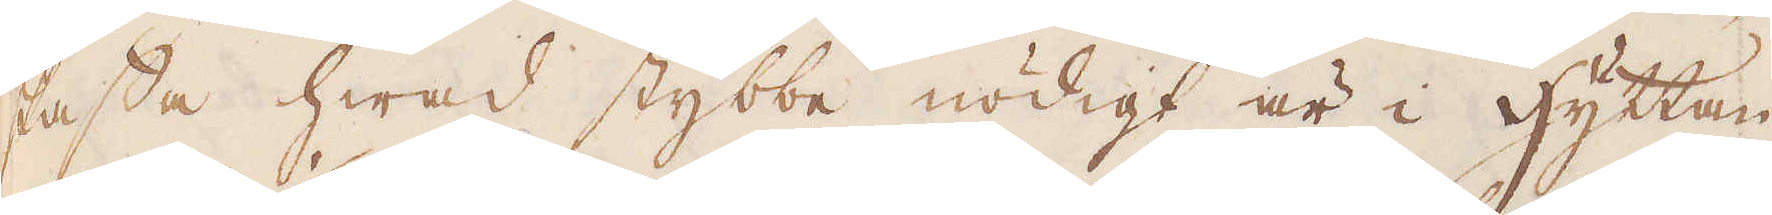skaffa hwad stybbe nödigt är i hyttan
